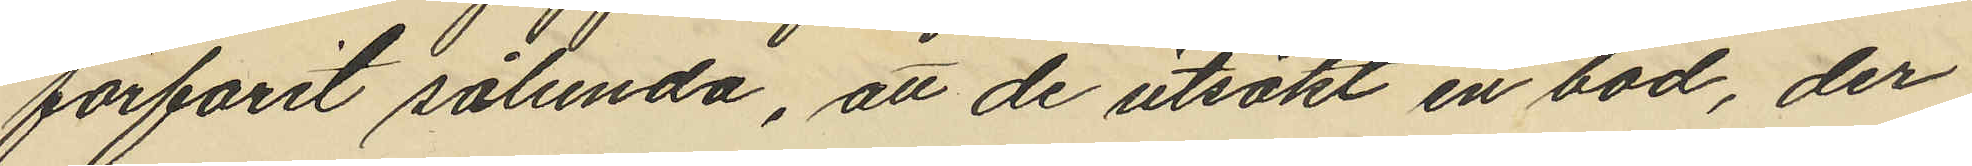förfarit sålunda, att de utsökt en bod, der
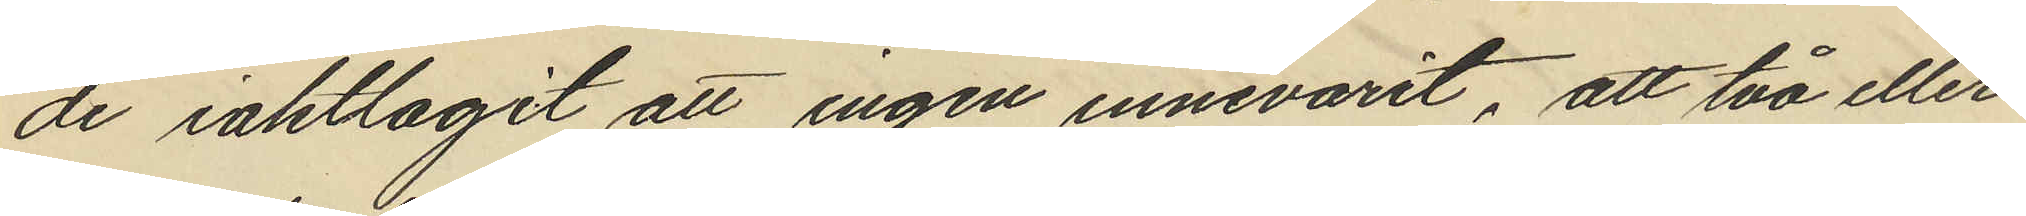de iakttagit att ingen innevarit, att två eller
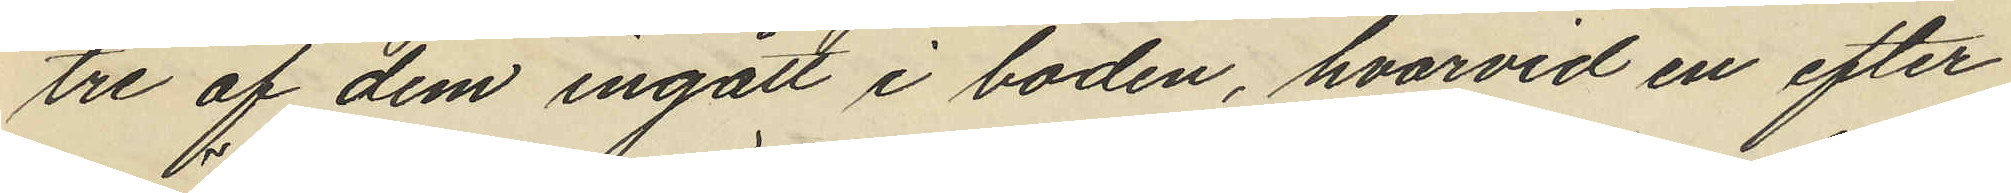tre af dem ingått i boden, hvarvid en efter
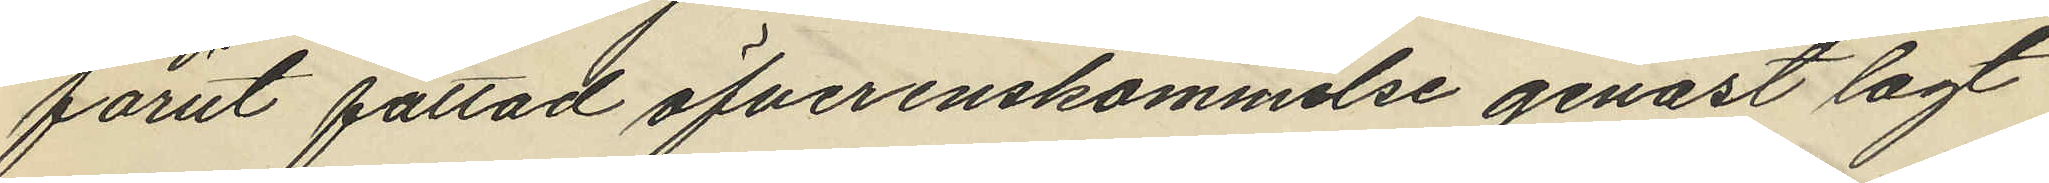förut fattad öfverenskommelse genast lagt
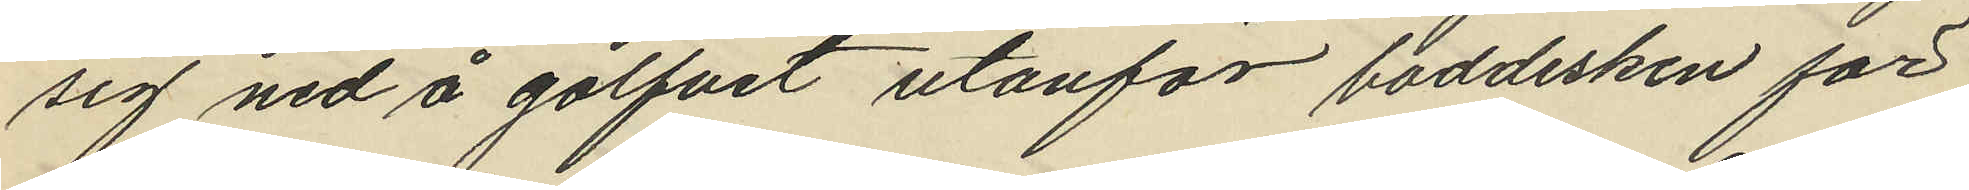sig ned å golfvet utanför boddisken för
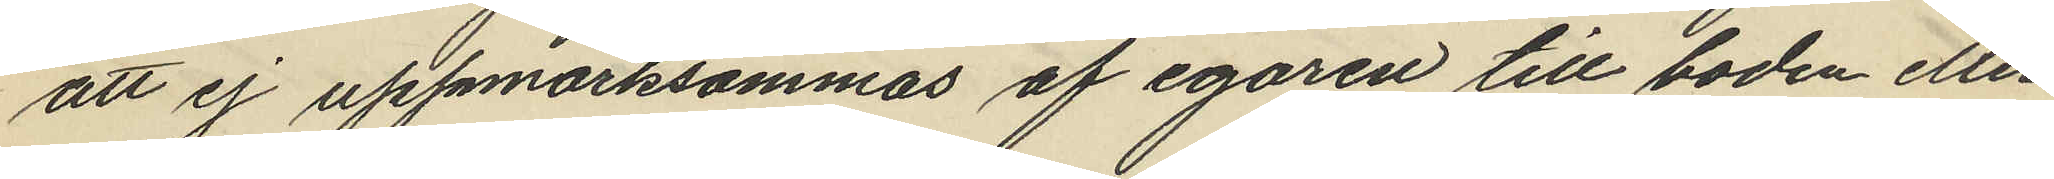att ej uppmärksammas af egaren till boden eller
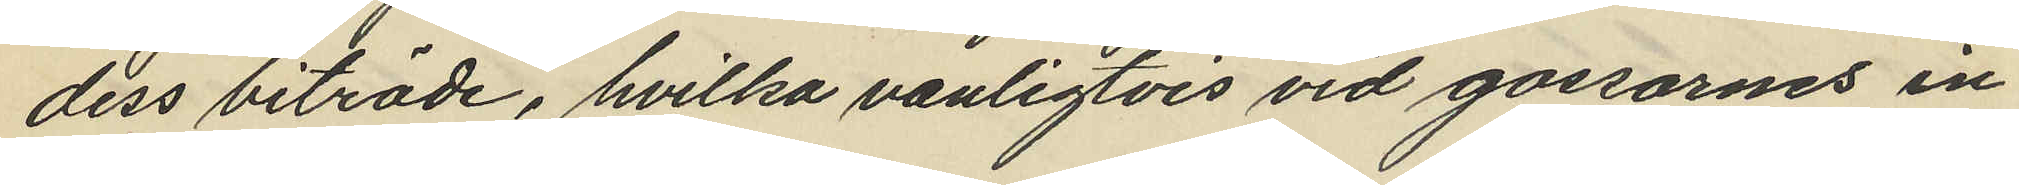dess biträde, hvilka vanligtvis vid gossarnes in
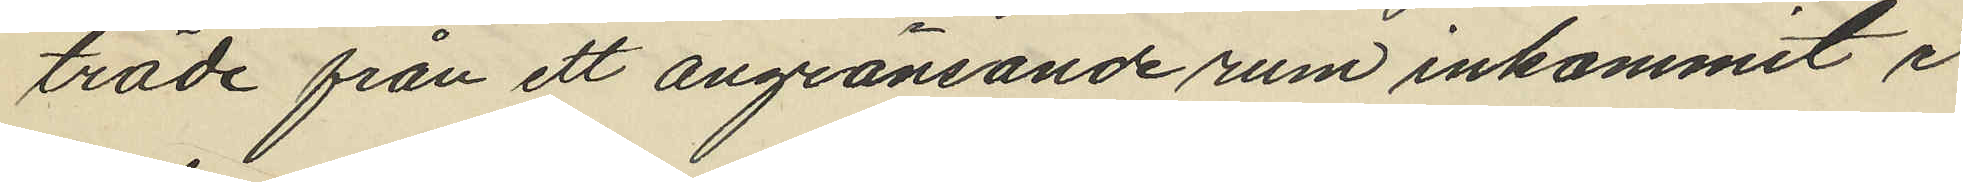träde från ett angränsande rum inkommit i
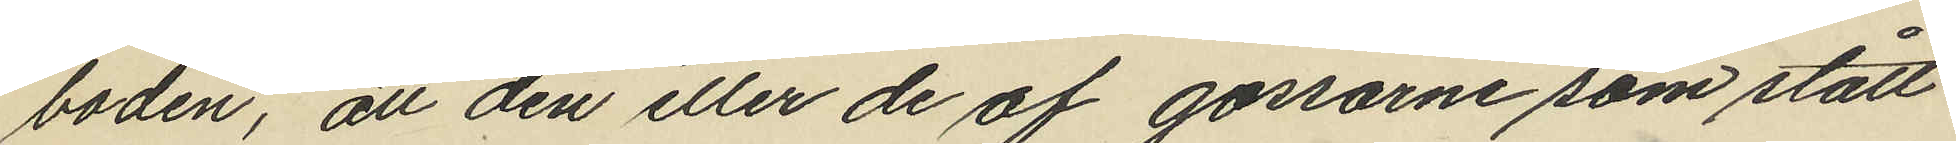boden, att den eller de af gossarne som stått
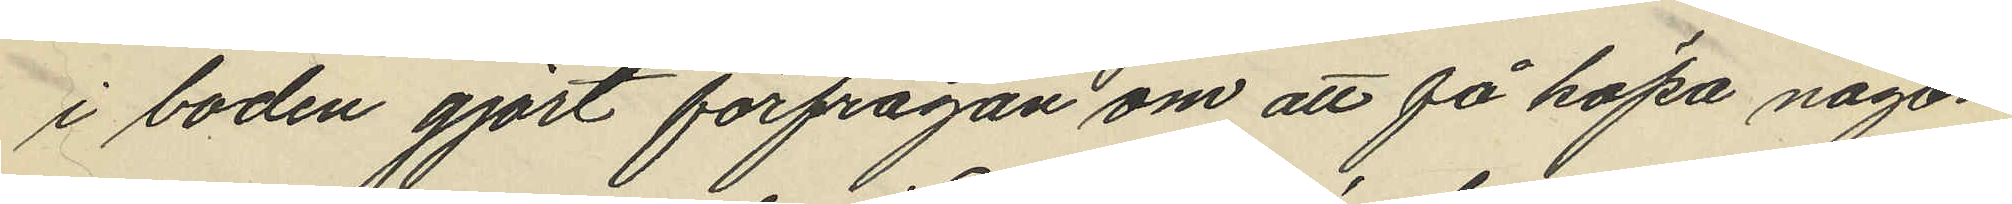i boden gjort förfrågan om att få köpa någon
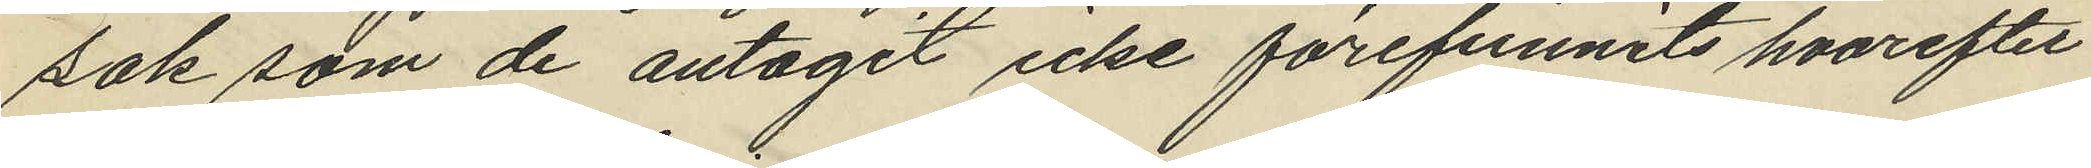sök som de antagit icke förefunnits hvarefter
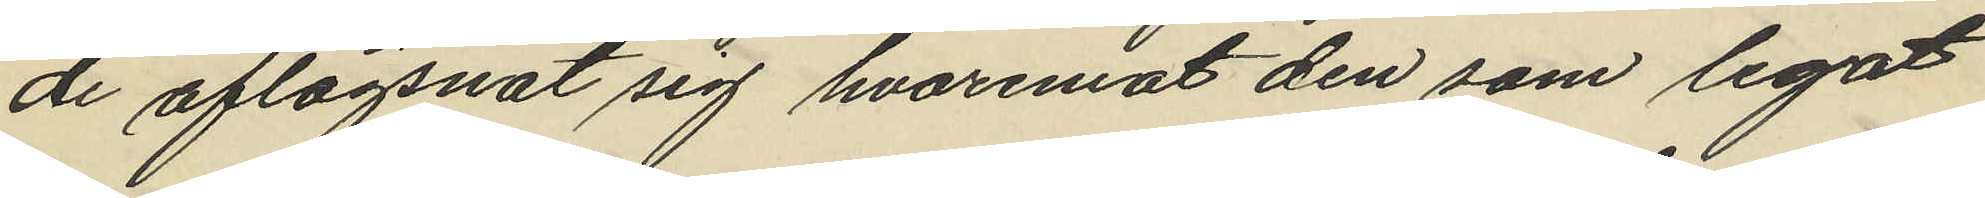de aflägsnat sig hvaremot den som legat
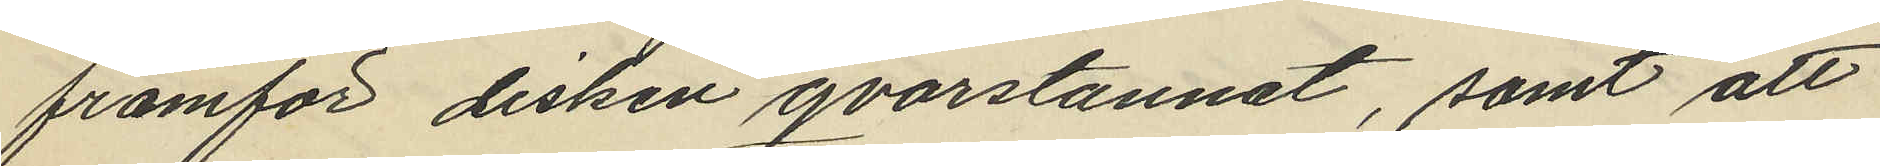framför disken qvarstannat, samt att
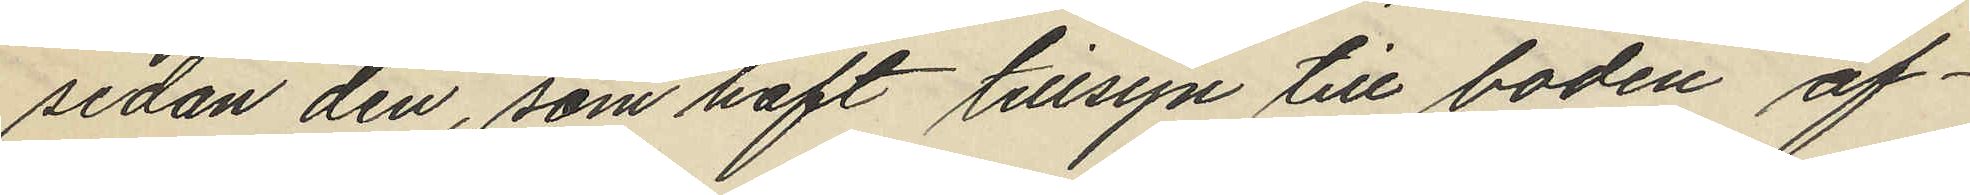sedan den, som haft tillsyn till boden af¬
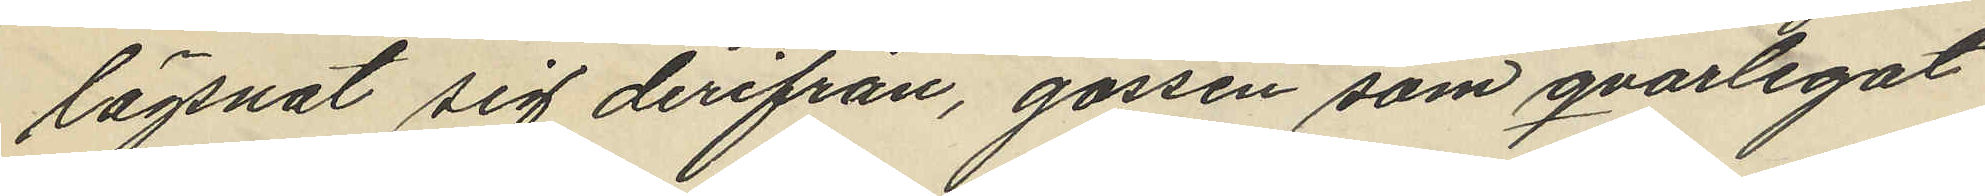lägsnat sig derifrån, gossen som qvarlegat
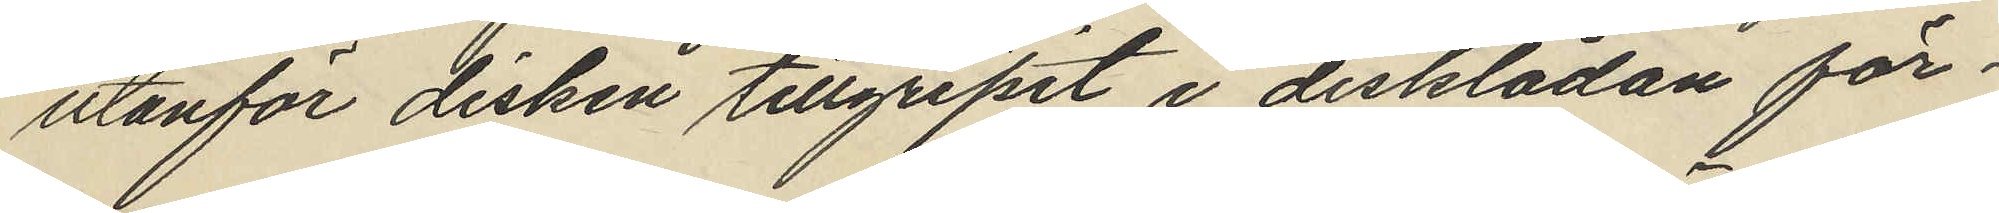utanför disken tillgripit i disklådan för¬
